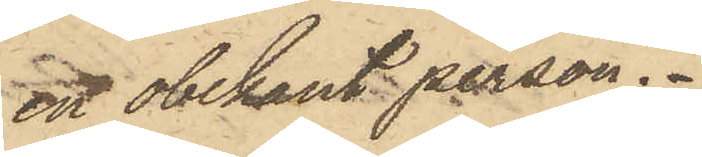en obekant person.
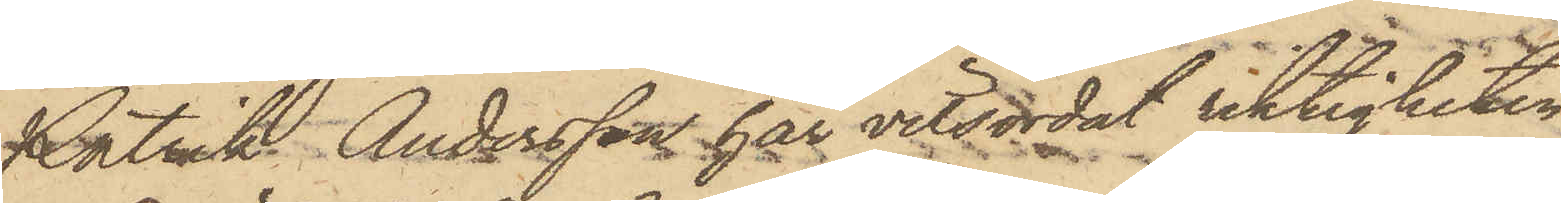Patrik Andersson har vitsordat riktigheten
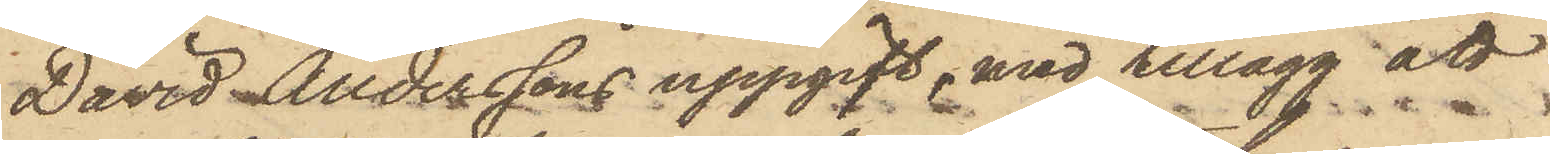David Anderssons uppgift, med tillägg att
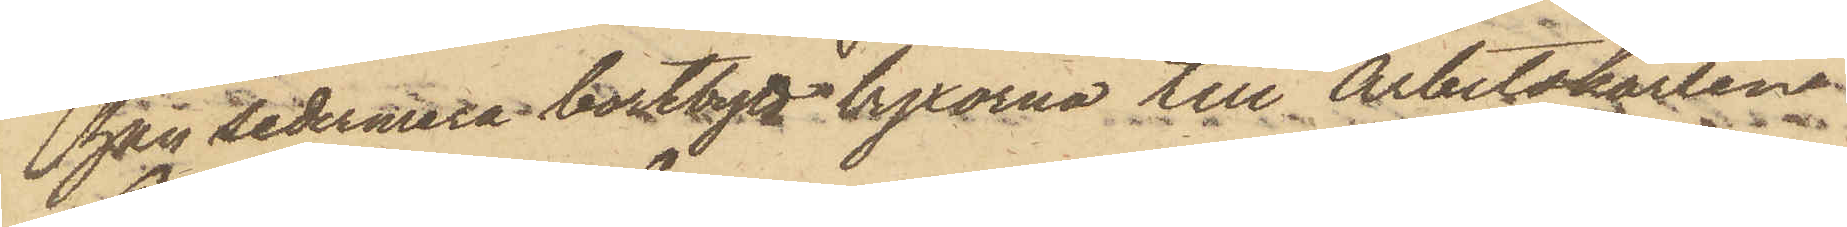han sedermera bortbytt byxorna till Arbetskarlen
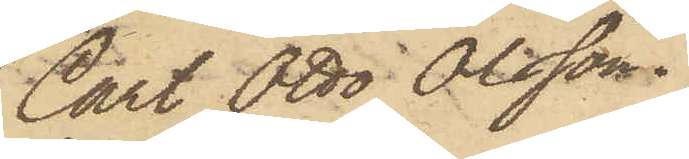Carl Otto Olsson.
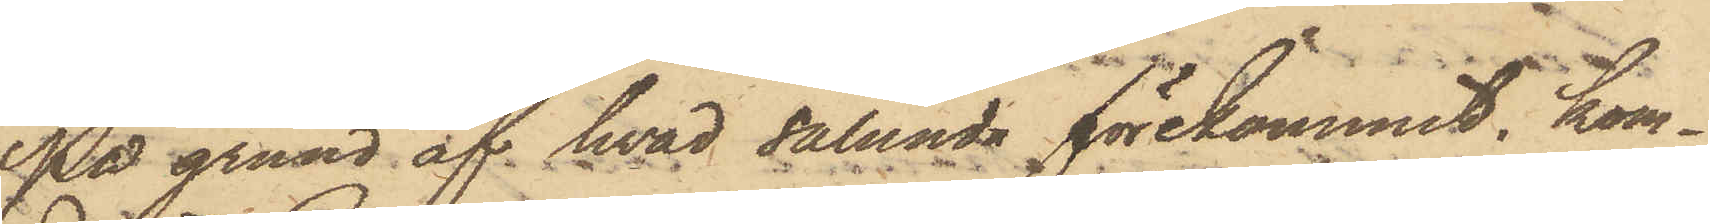På grund af hvad sålunda förekommit, kom¬
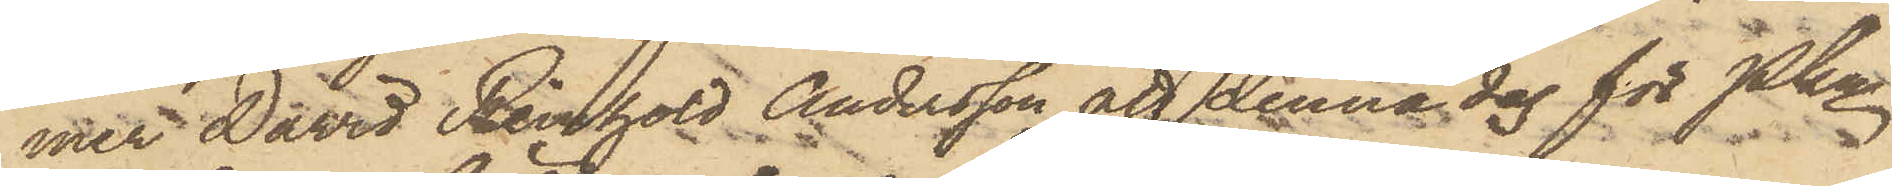mer David Reinhold Andersson att denna dag för Pkn
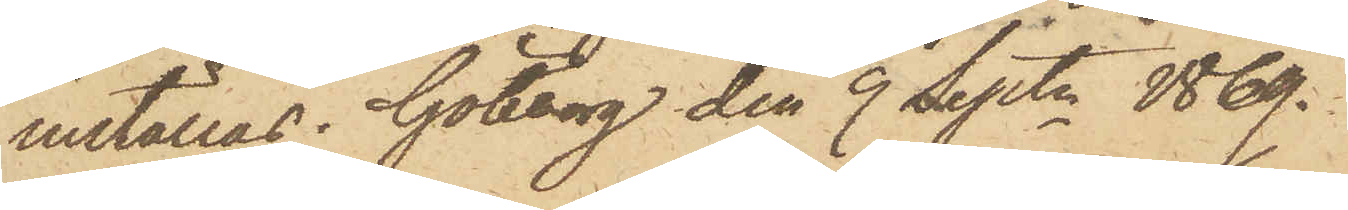inställas. Göteborg den 9 Septr 1869.
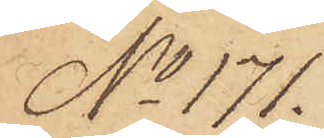No 171.
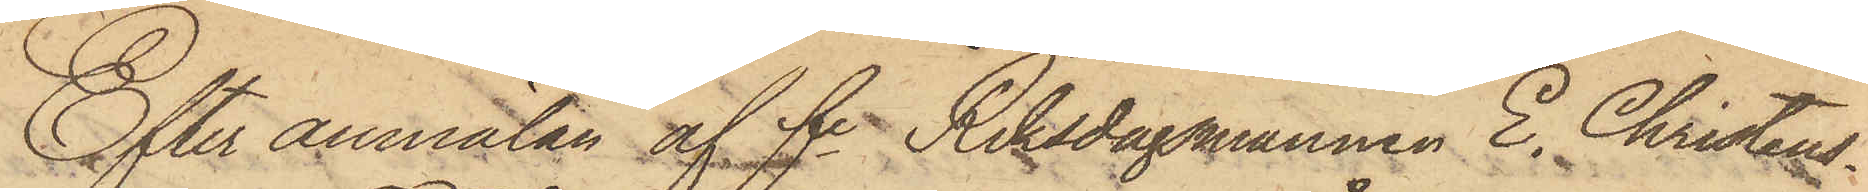Efter anmälan af fe Riksdagmannen E. Christens¬
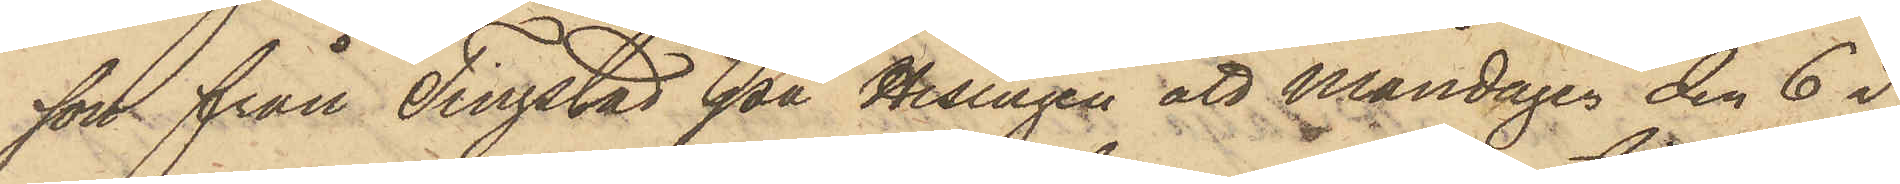son från Tingstad på Hisingen att Måndagen den 6 i
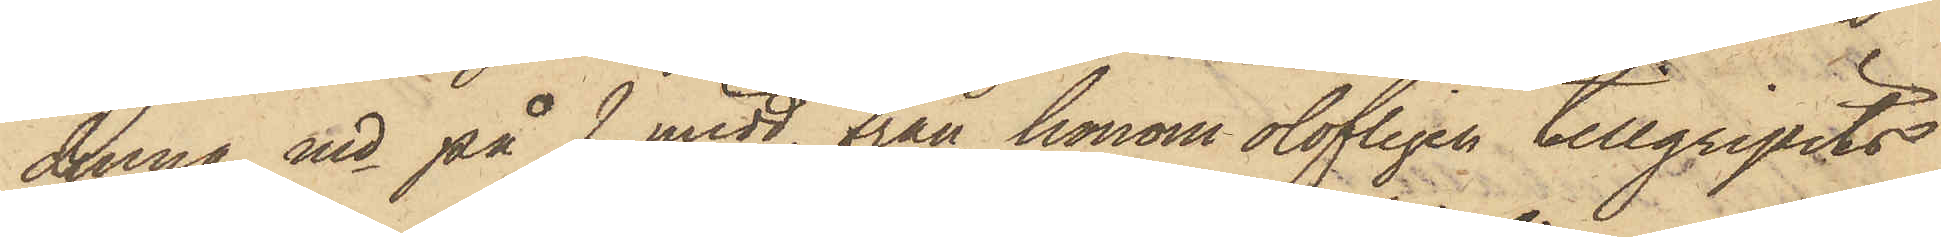denna md på f. midd. från honom olofligen tillgripits
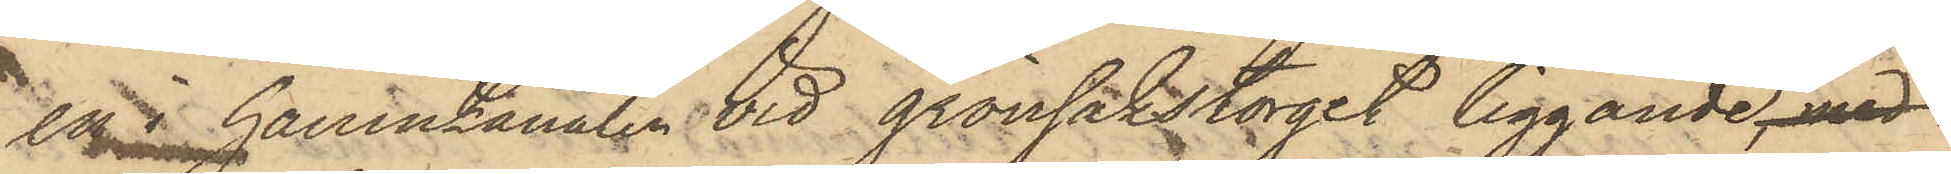en i hamnkanalen vid grönsakstorget liggande, med
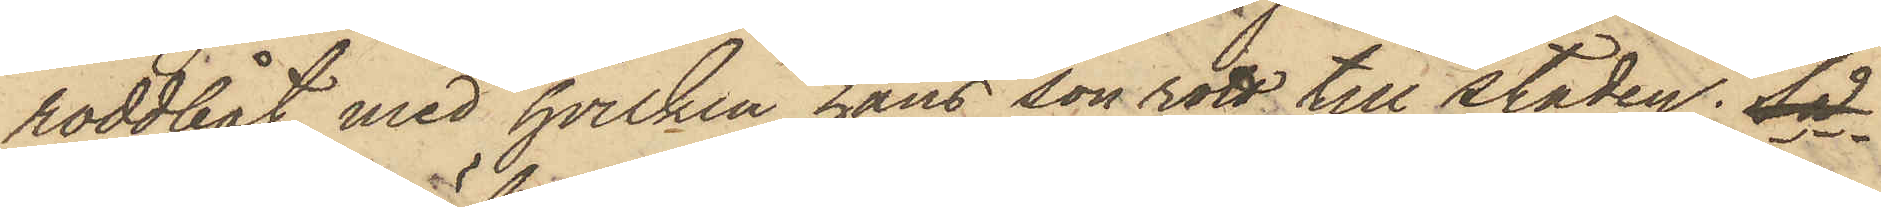roddbåt, med hvilken hans son rott till staden, så
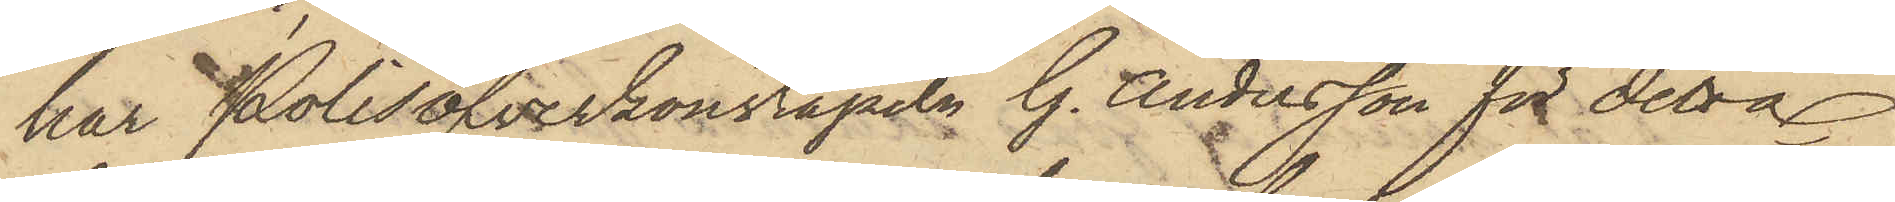har Polisöfverkonstapeln G. Andersson för detta
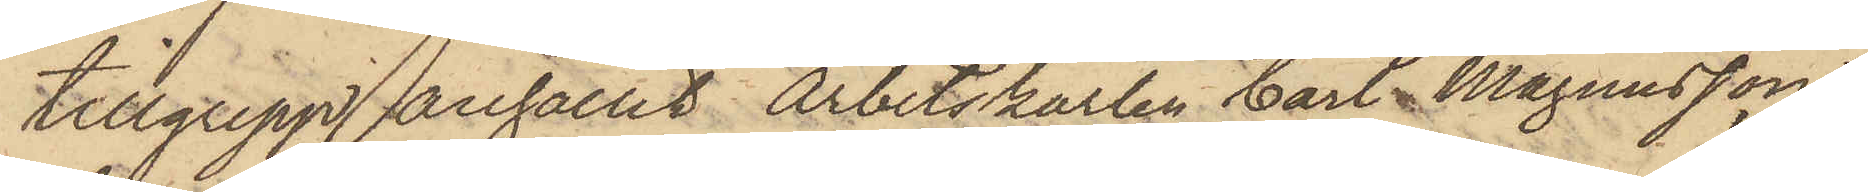tillgrepp anhållit arbetskarlen Carl Magnusson,
